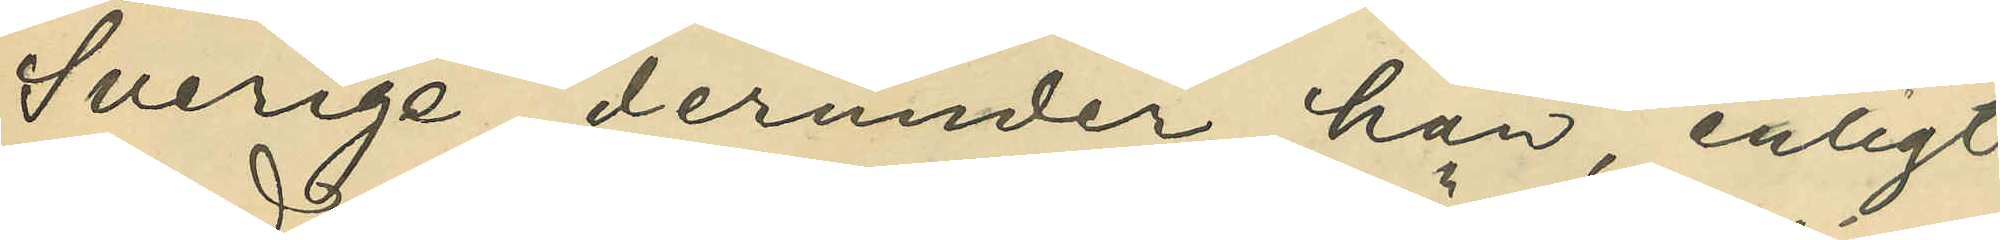Sverige, derunder han, enligt
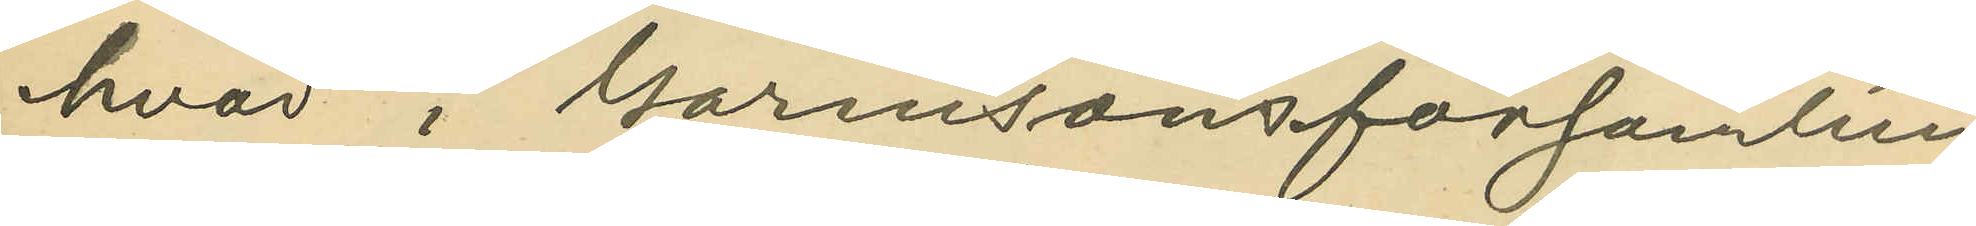hvad i Garnisonsförsamlin¬
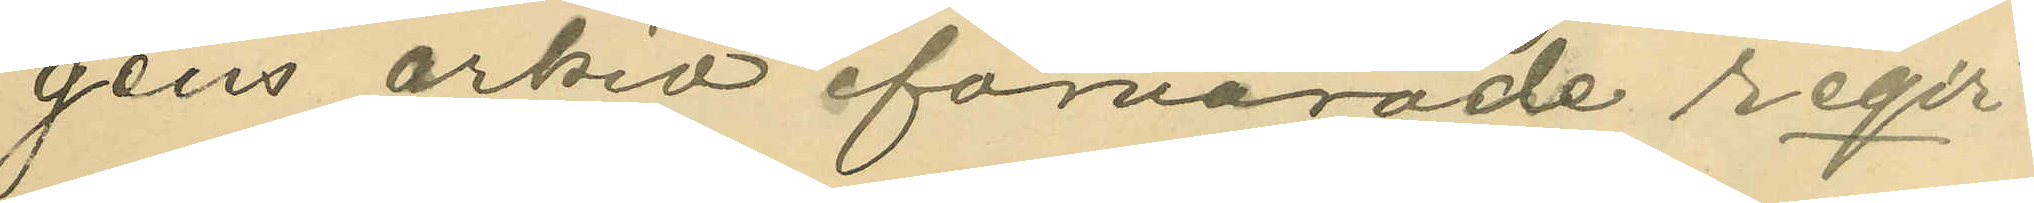gens arkiv förvarade reqvi¬
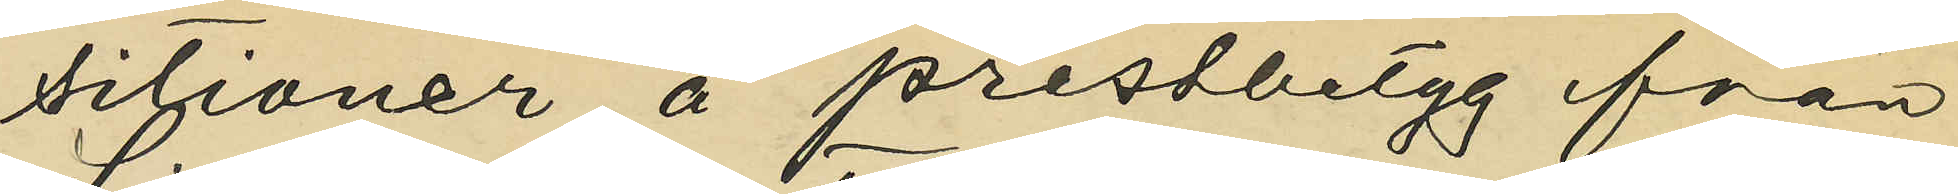sitioner å prestbetyg från
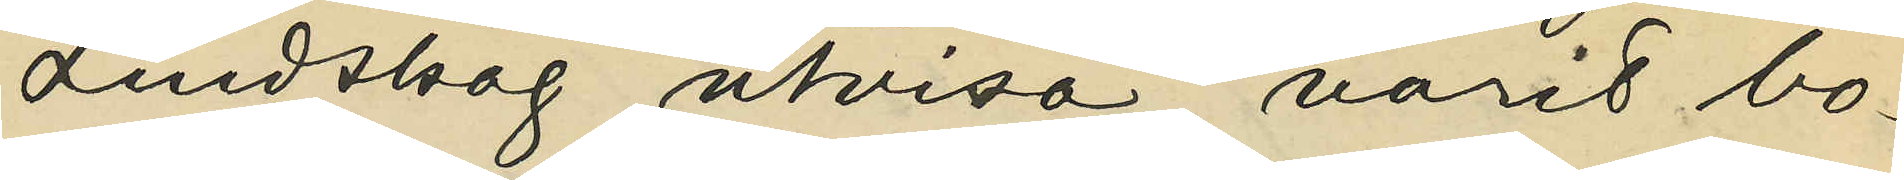Lindskog utvisa, varit bo¬
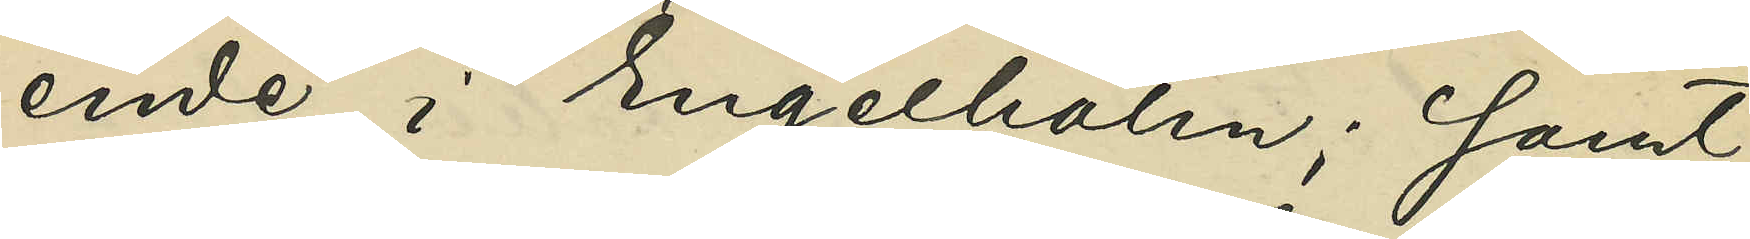ende i Engelholm; samt
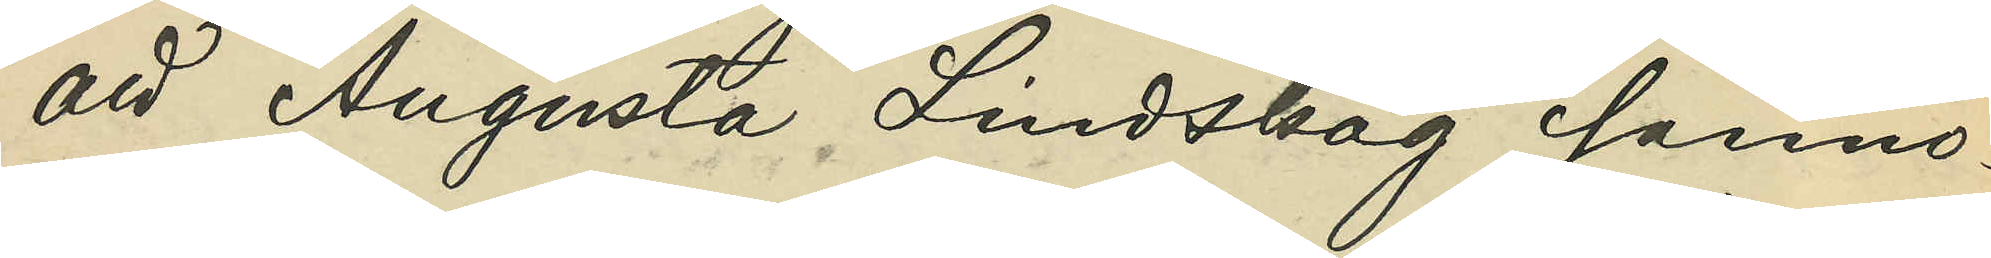att Augusta Lindskog sanno¬
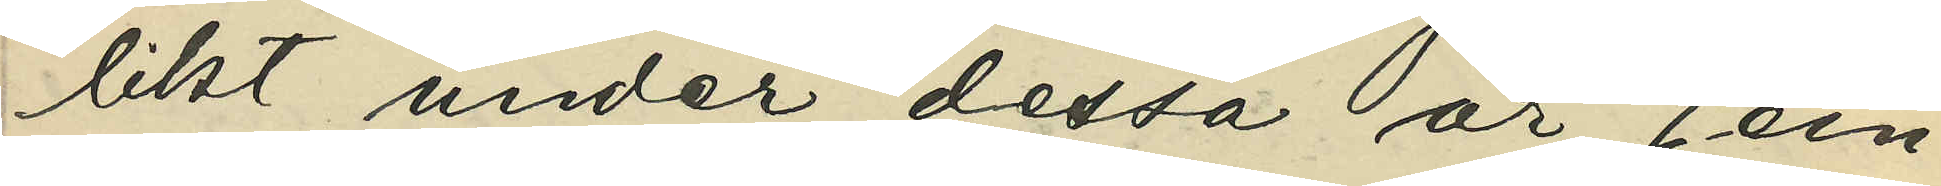likt under dessa år jem¬
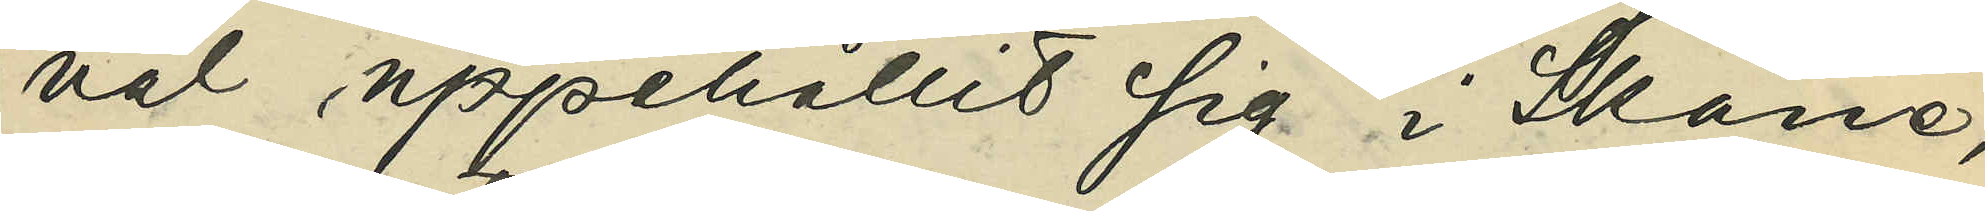väl uppehållit sig i Skåne,
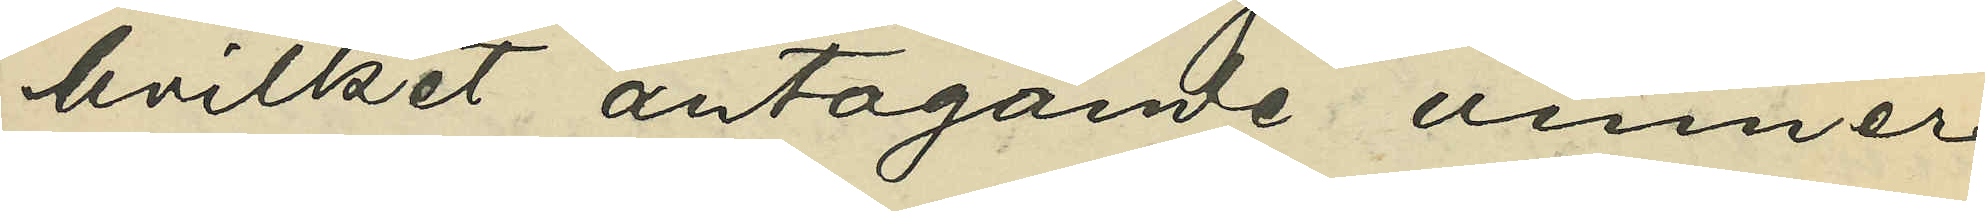hvilket antagande vinner
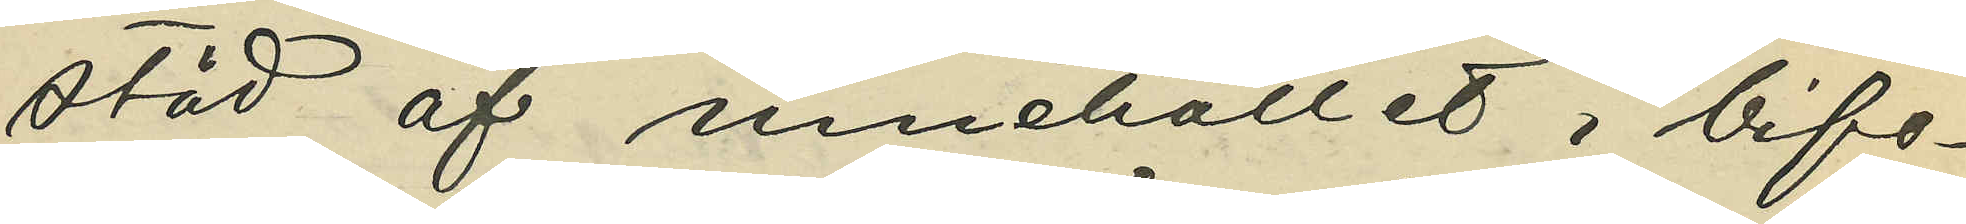stöd af innehållet i bifo¬
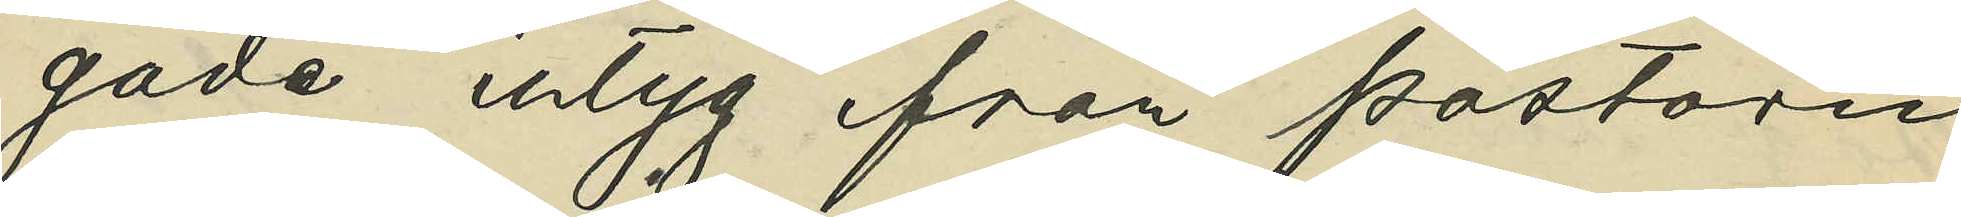gade intyg från pastorn
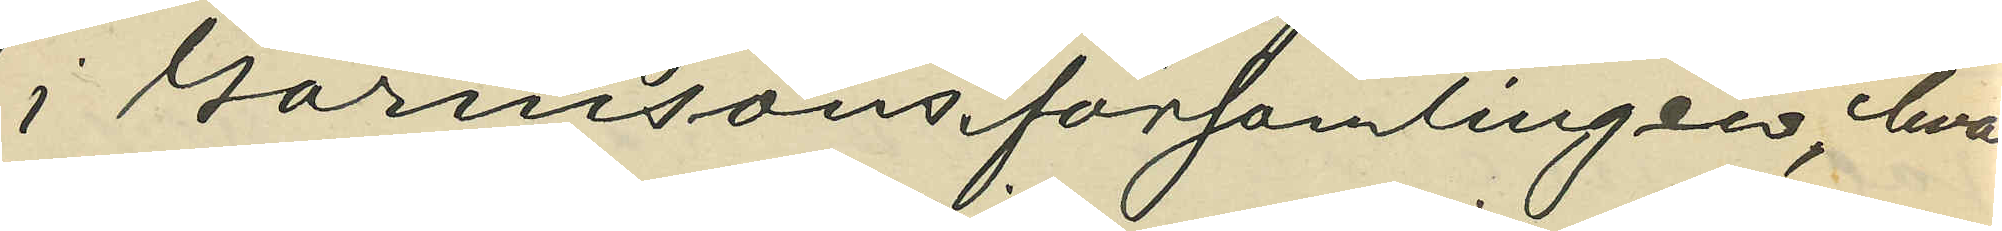i Garnisonsförsamlingen, hvar¬
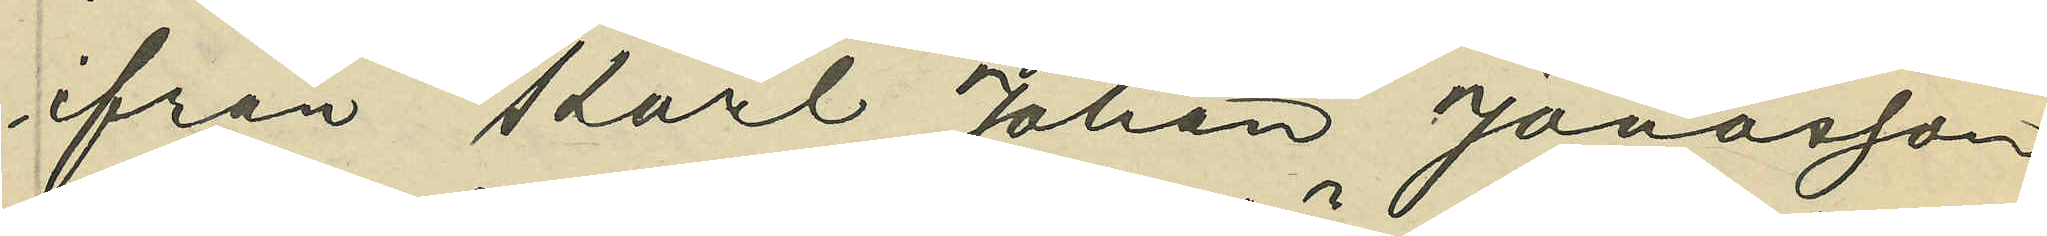ifrån Karl Johan Jonasson
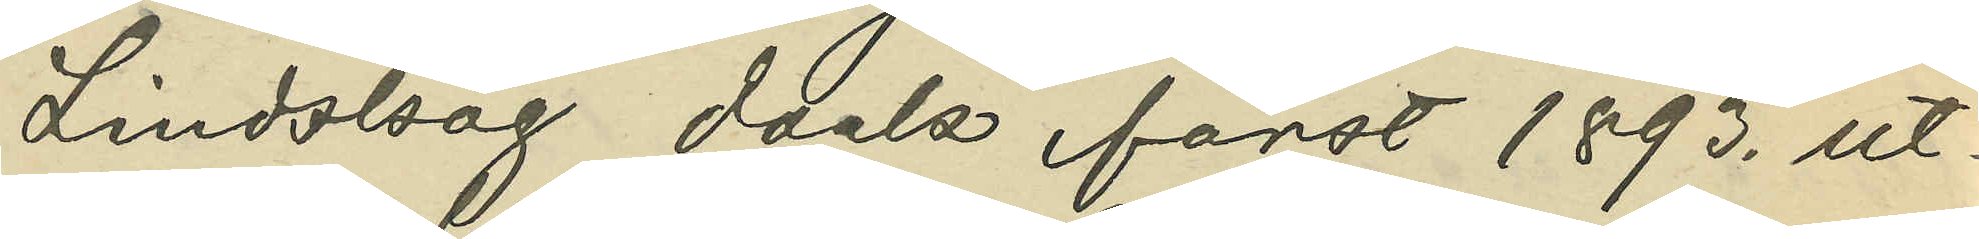Lindskog dock först 1893. ut¬
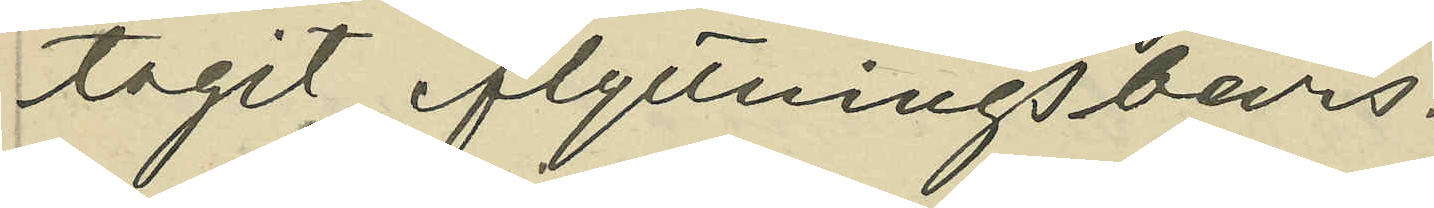tagit flyttningsbevis.
